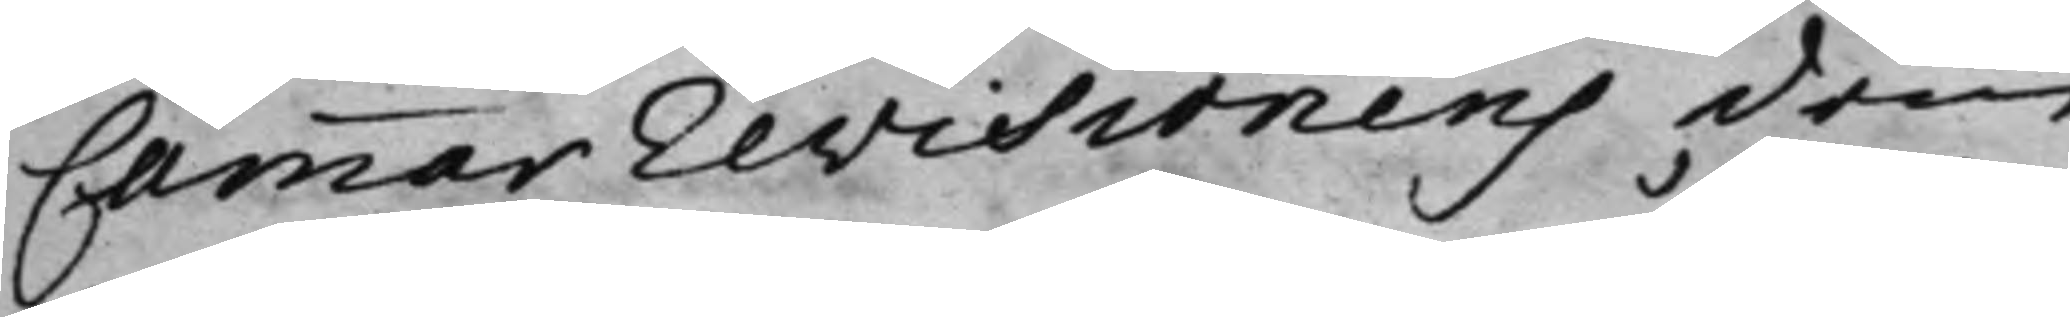Cammarrevisionens dom
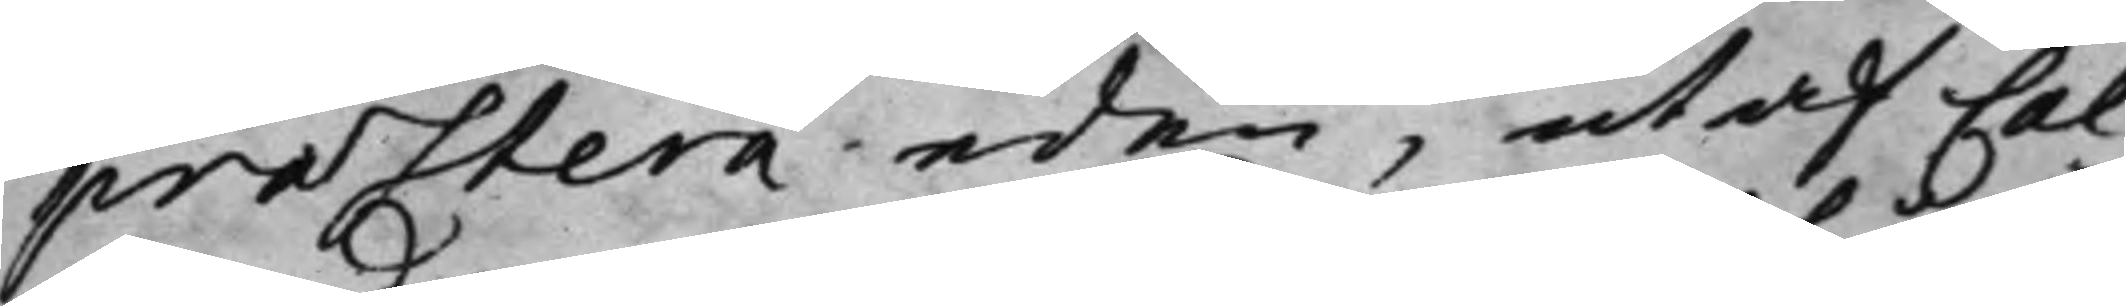præstera eden, ut af Cal¬
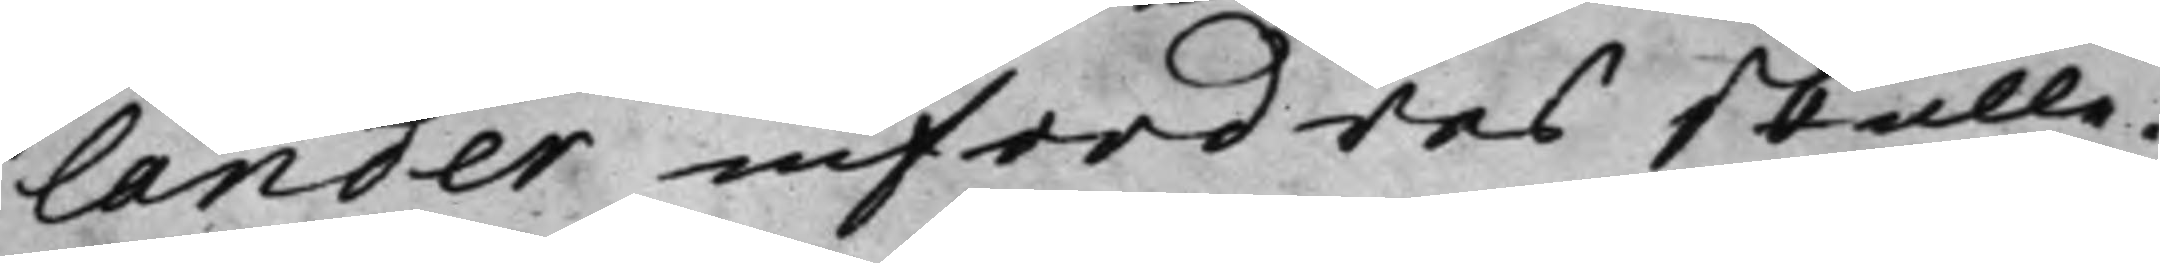lander infordras skulle.
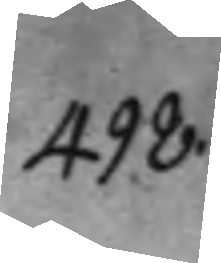498.
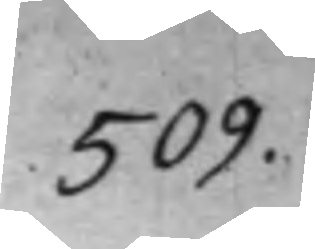509.
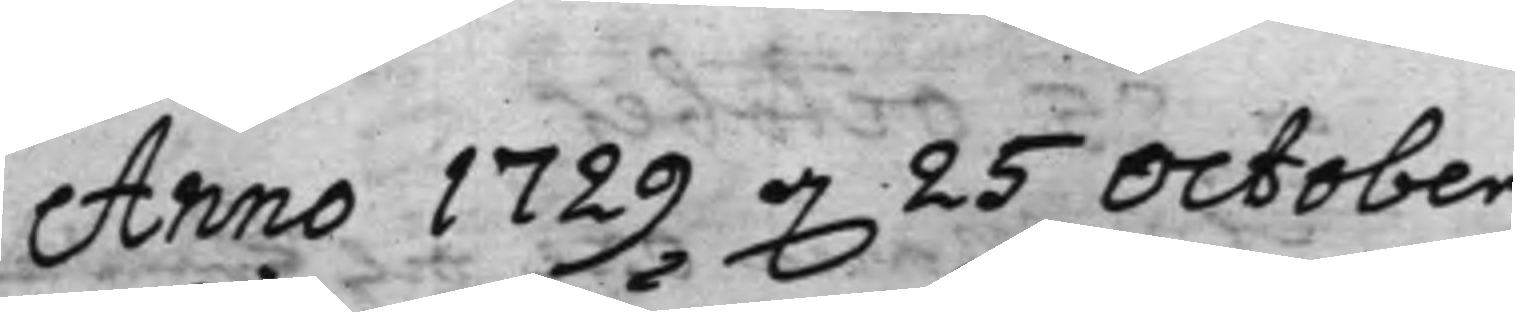Anno 1729 d. 25 October
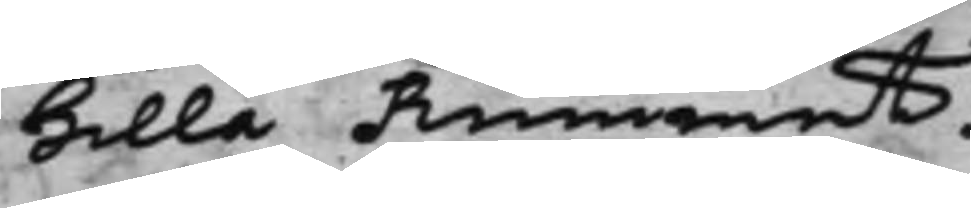Lilla Rummet.
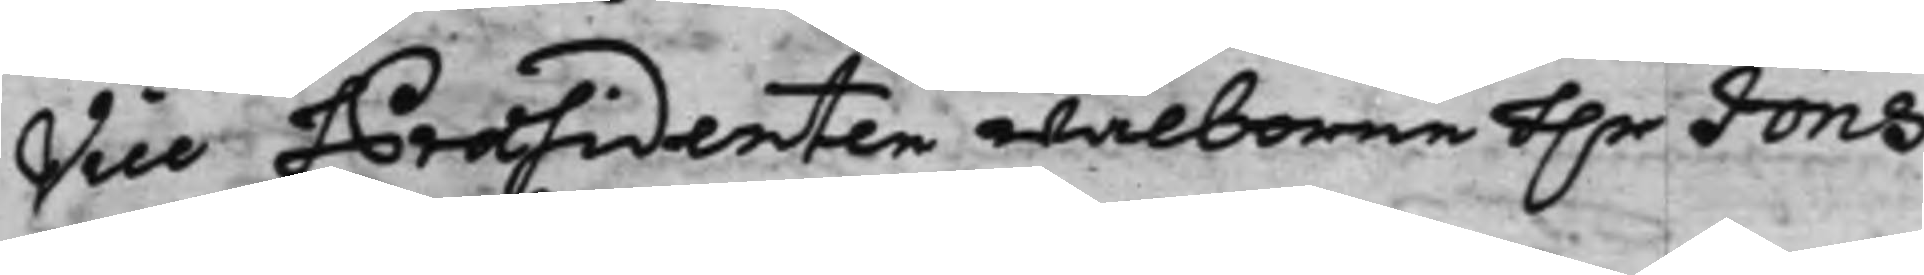Vice Præsidenten wälborne h.r Jöns
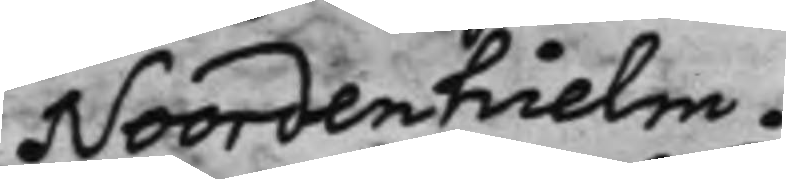Noordenhielm.
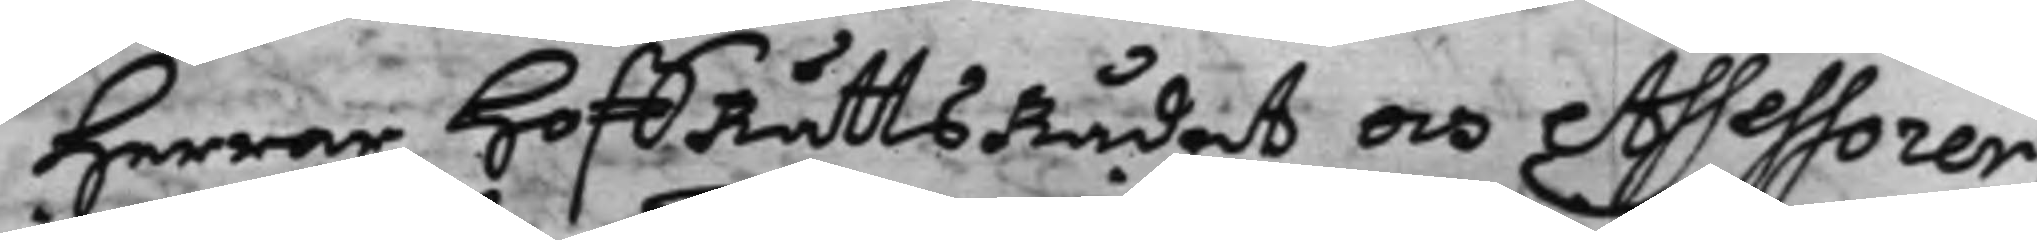Herrar HoffRättsRådet och Assessorer.
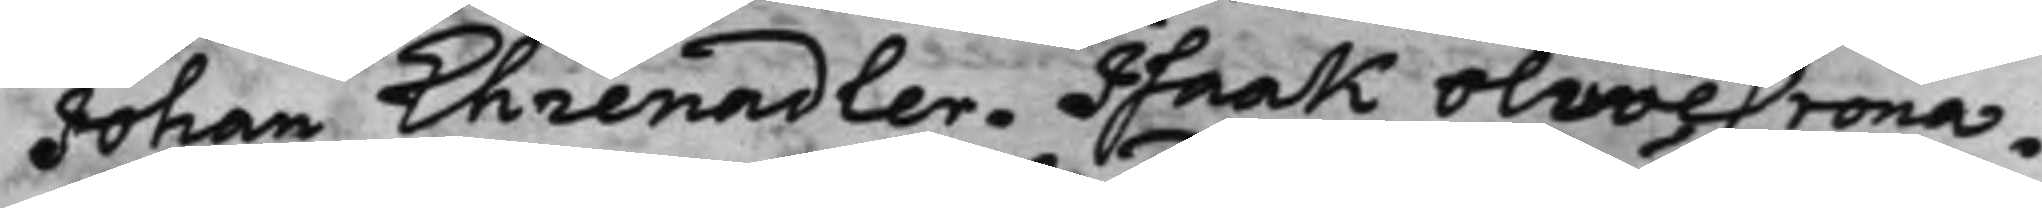Johan Ehrenadler. Isaak OliveCrona.
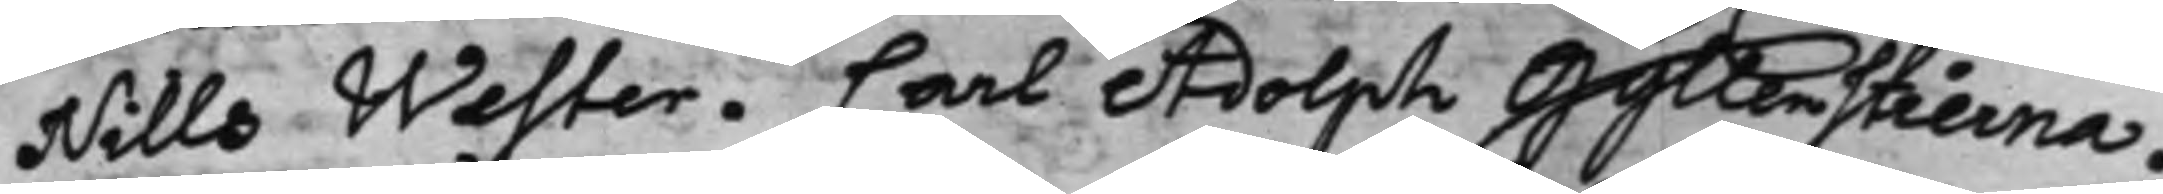Nills Wester. Carl Adolph Gyllenstierna,
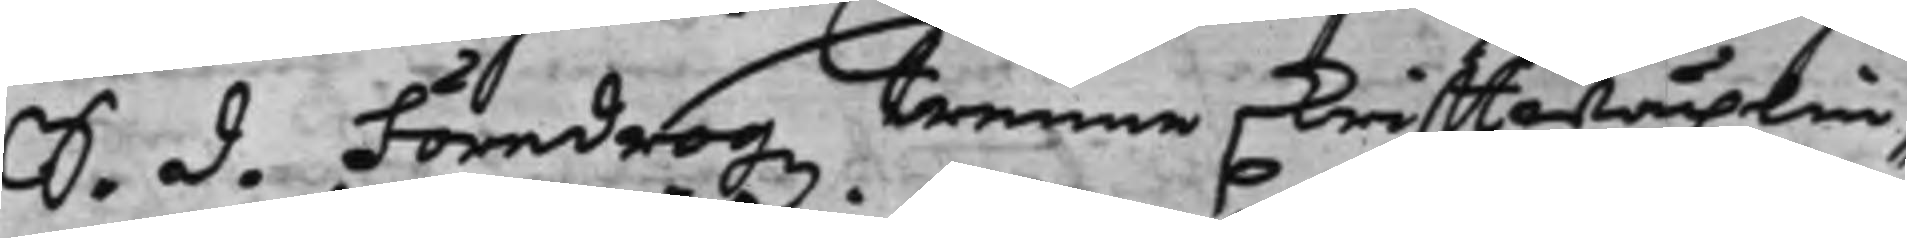S. d. Föredrogz trenne skrifftwäxlin¬
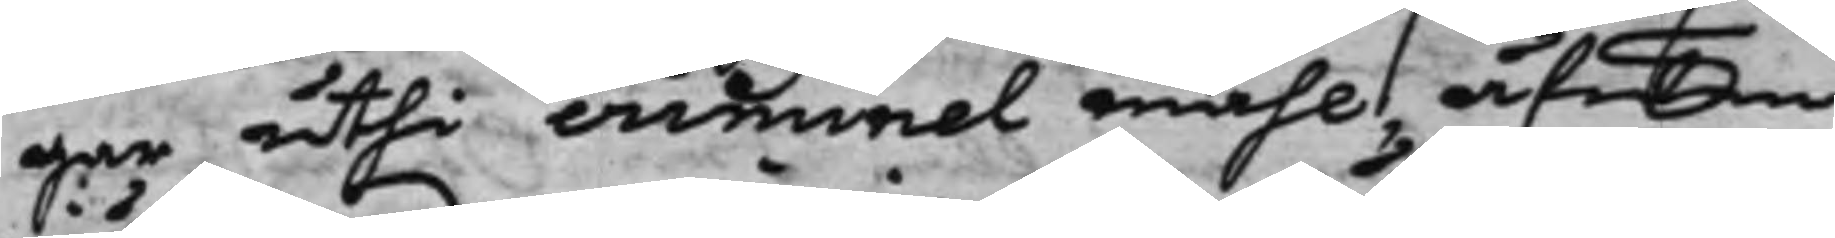gar uthi criminel måhl, äfwen
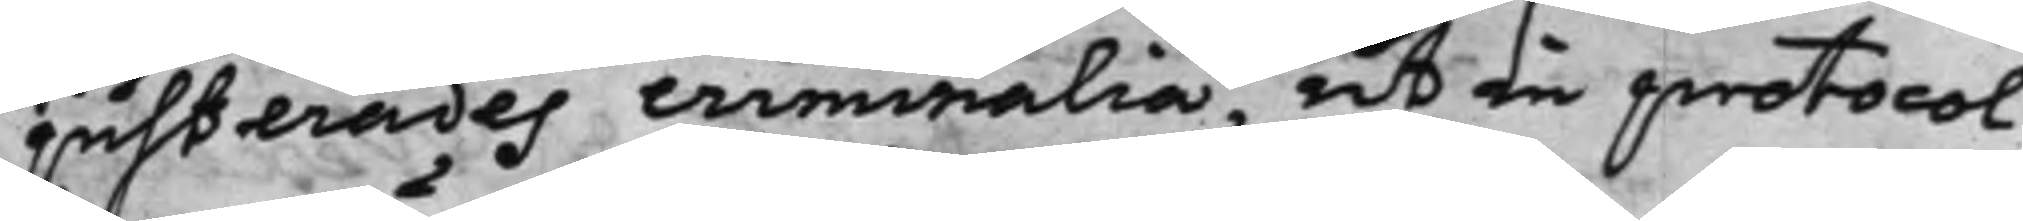justerades criminalia, ut in protocol¬
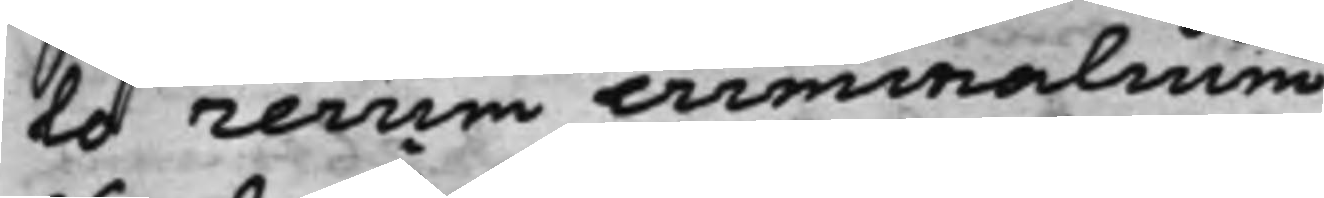lo rerum criminalium.
